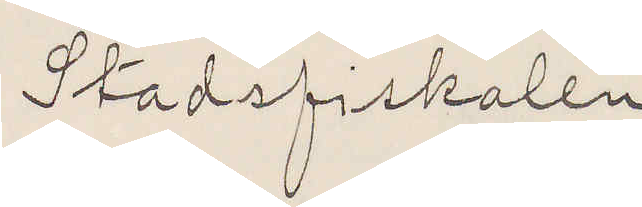Stadsfiskalen
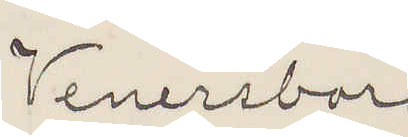Venersborg
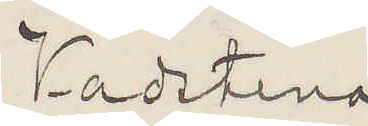Vadstena
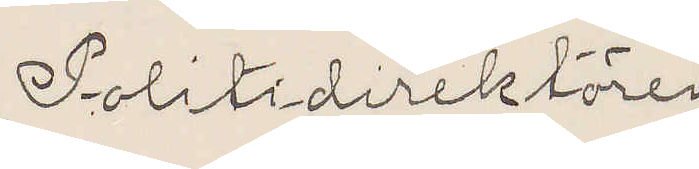Politidirektören
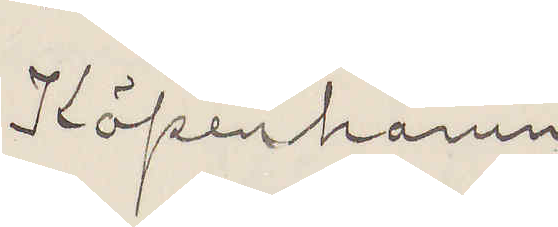Köpenhamn
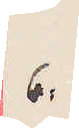6.
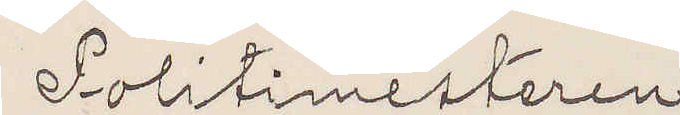Politimesteren
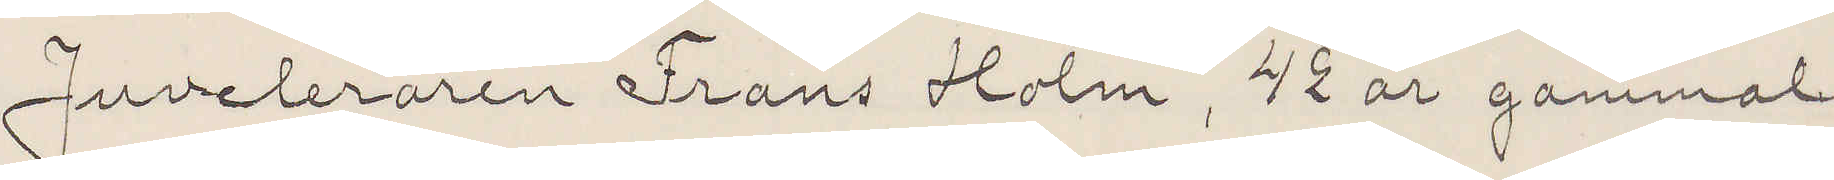Juveleraren Frans Holm, 42 år gammal,
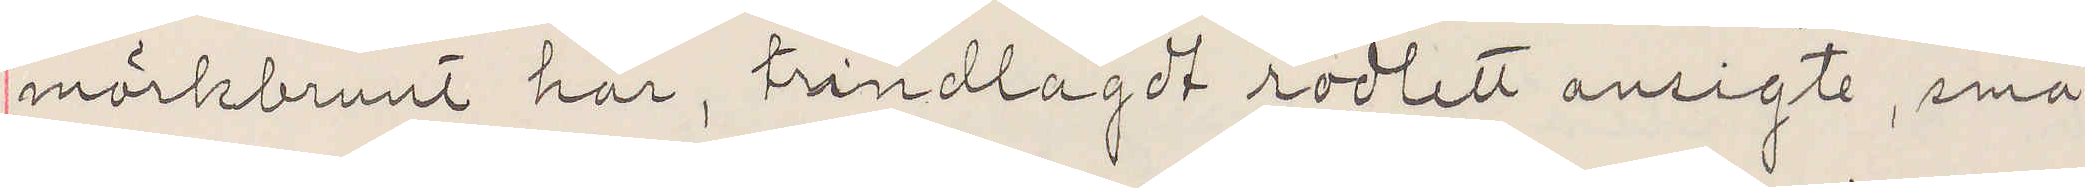mörkbrunt hår, trindlagdt rödlett ansigte, små
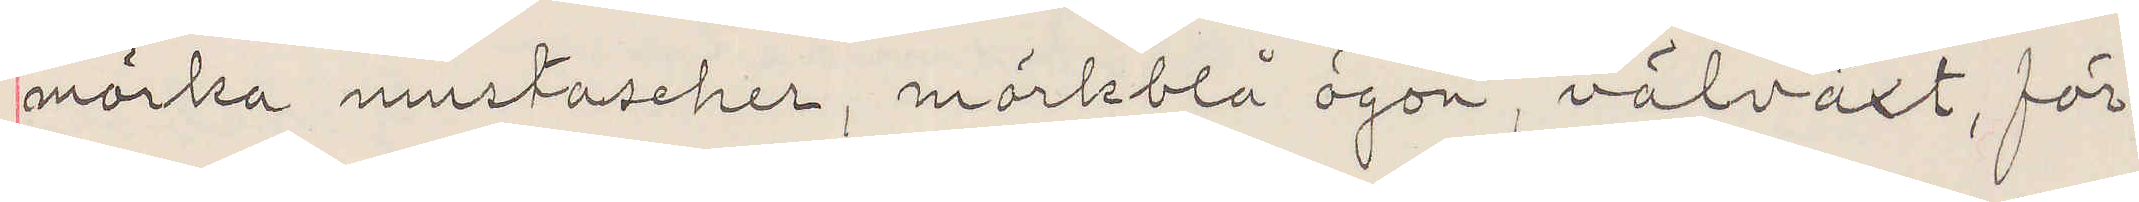mörka mustascher, mörkblå ögon, välväxt, för¬
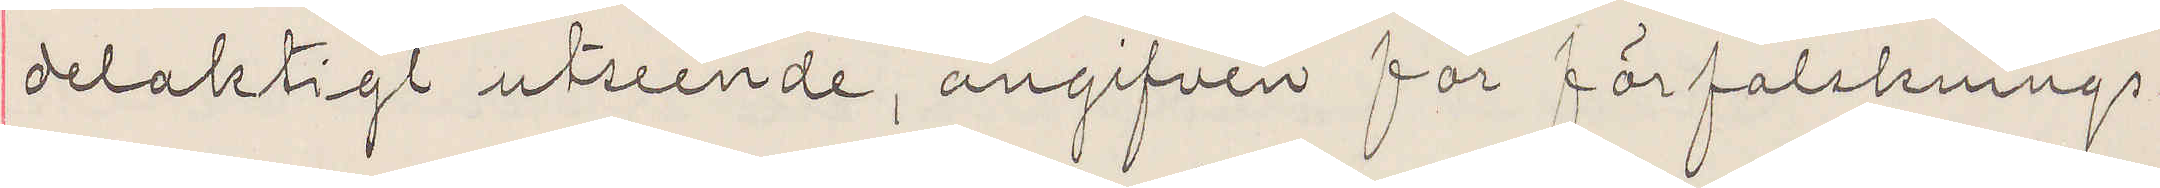delaktigt utseenden, angifven för förfalsknings¬
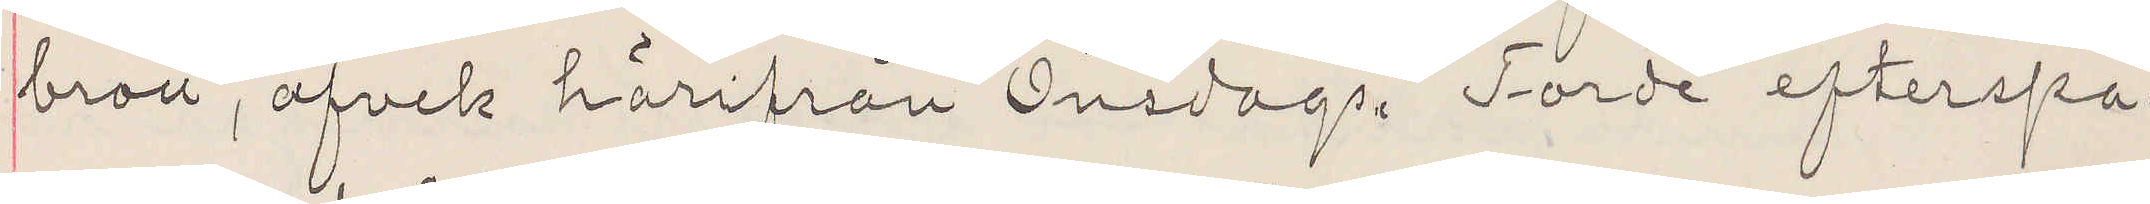brott, afvek härifrån Onsdags. Torde efterspa¬
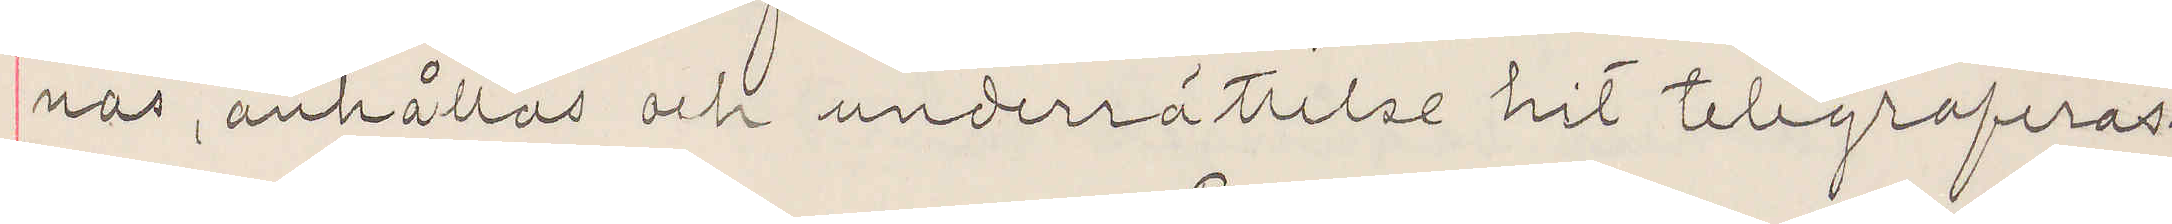nas, anhållas och underrättelse hit telegraferas.
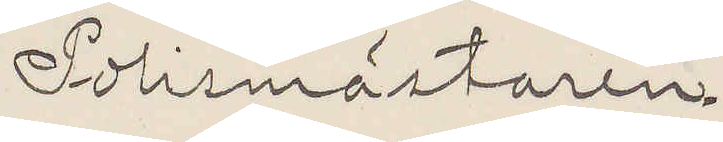Polismästaren
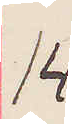14
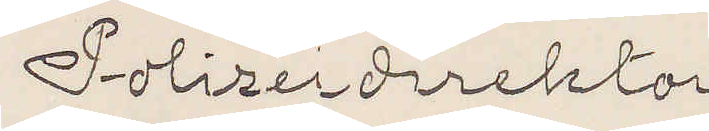Polizeidirektor
